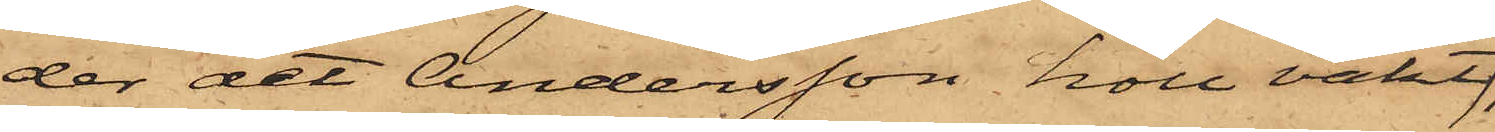der det Andersson höll vakt
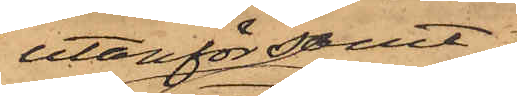utanför samt;
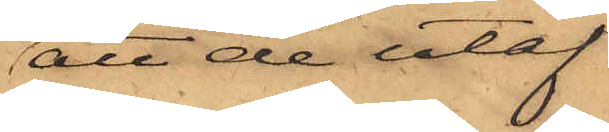att de utaf
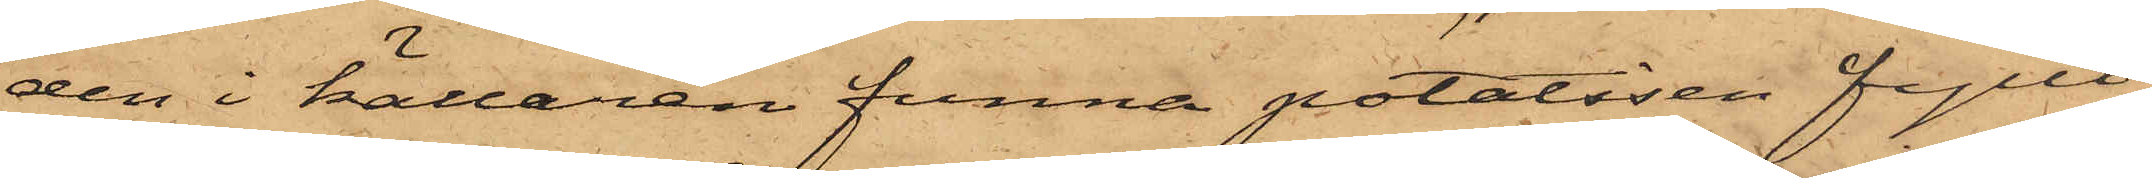den i källaren funna potatisen fyllt
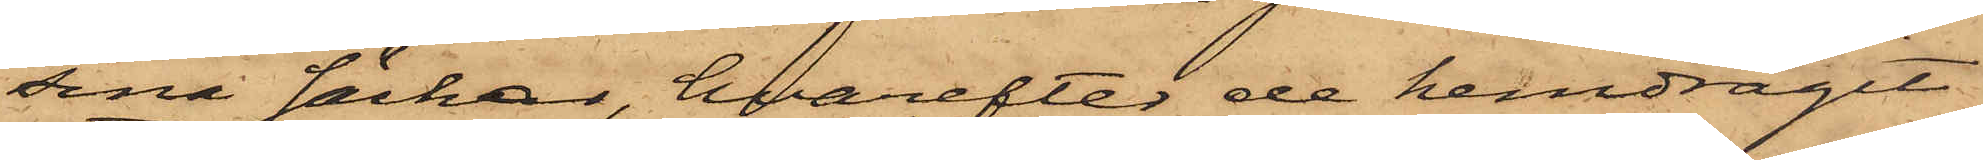sina säckar, hvarefter de hemdragit
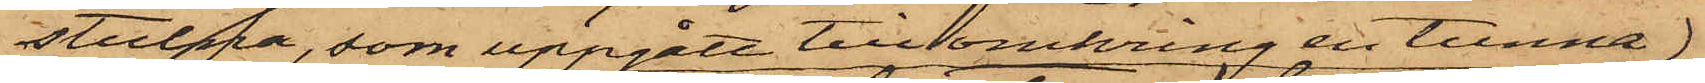stulna, som uppgått till omkring en tunna
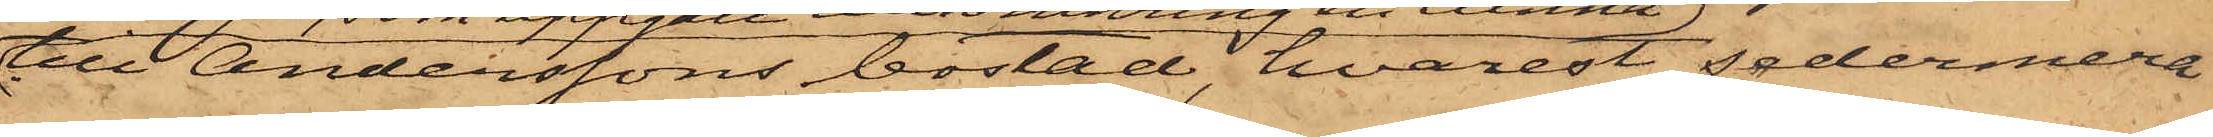till Anderssons bostad, hvarest sedermera
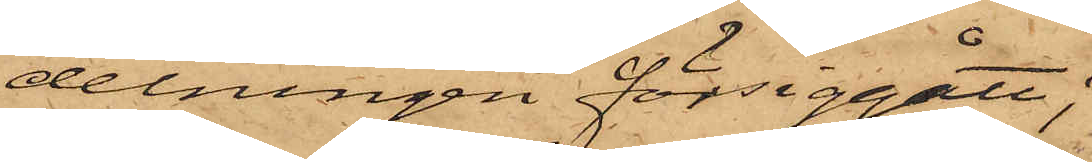delningen försiggått;
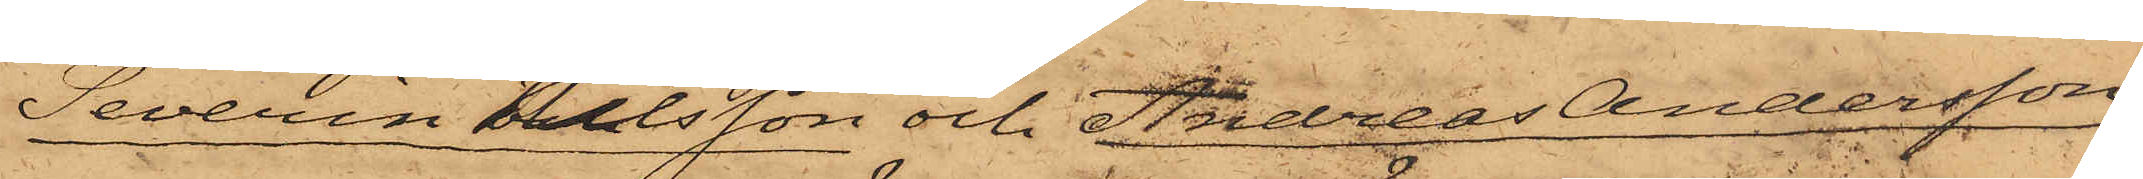Severin Nilsson och Andreas Andersson
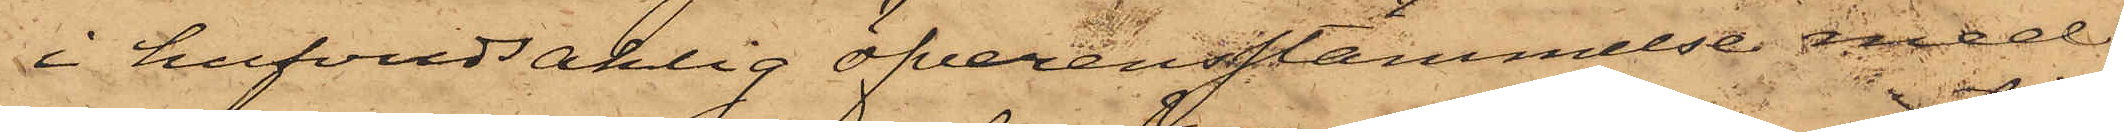i hufvudsaklig öfverensstämmelse med
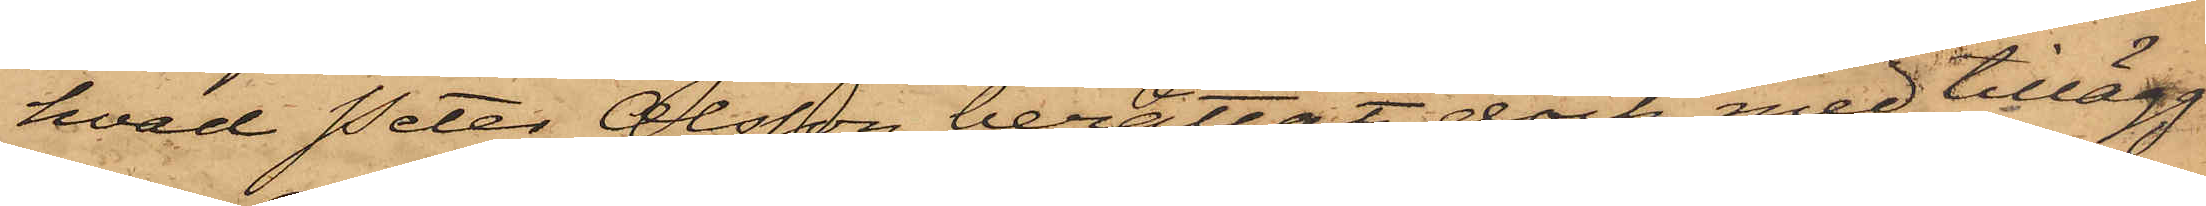hvad Peter Olsson berättat, dock med tillägg
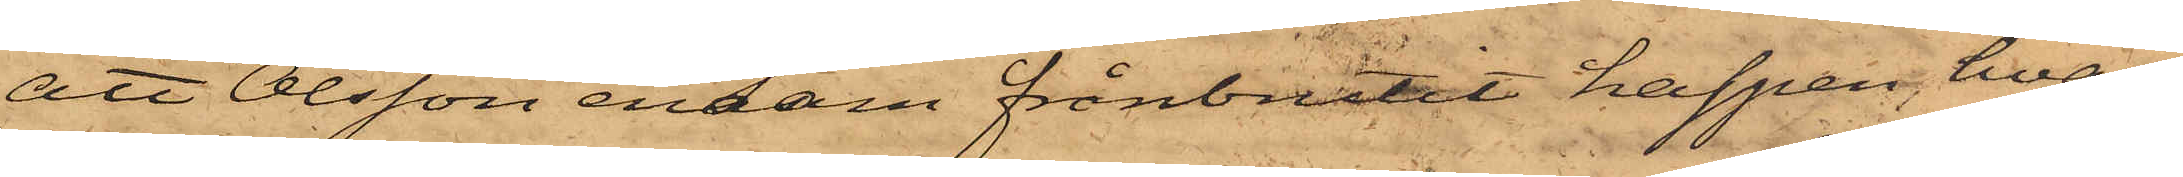att Olsson ensam frånbrutit haspen, hvar¬
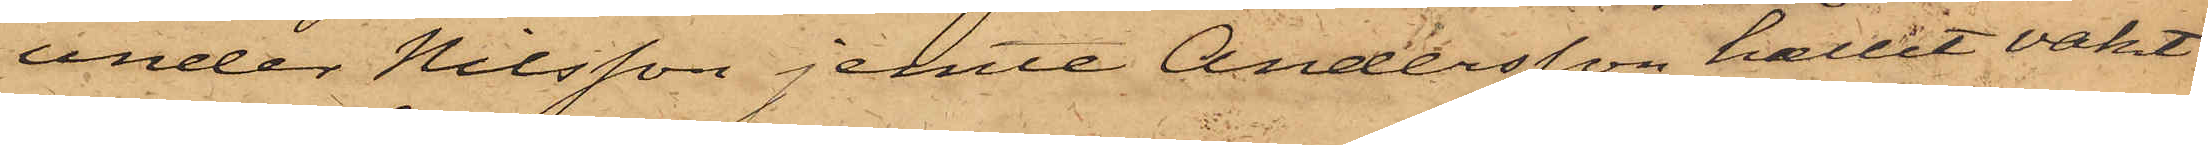under Nilsson jemte Andersson hållit vakt
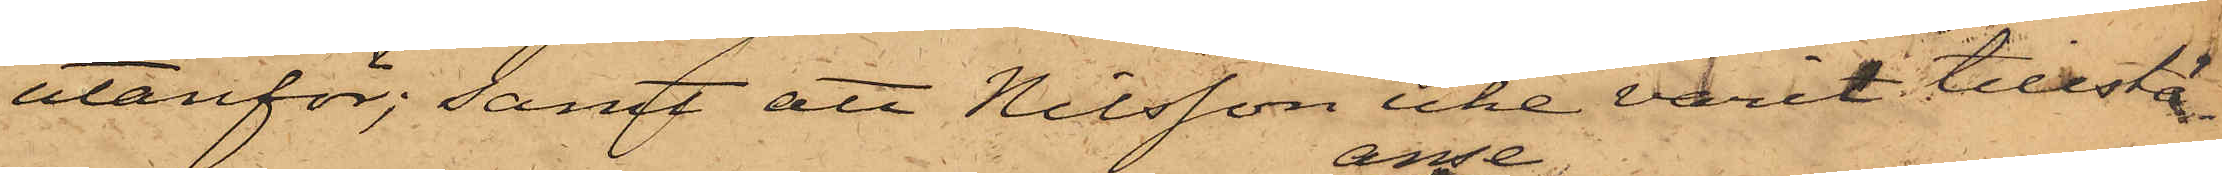utanför; samt att Nilsson icke varit tillstä¬
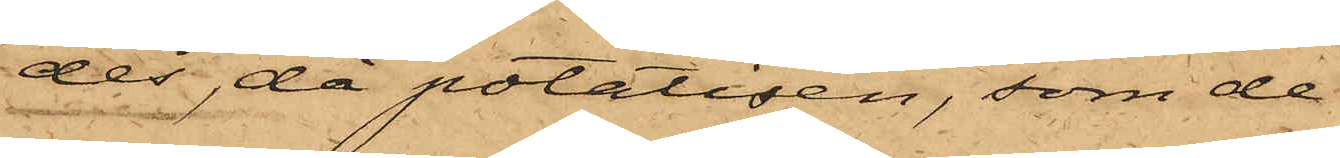des, då potalisen, som de
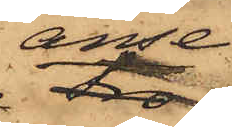anse
